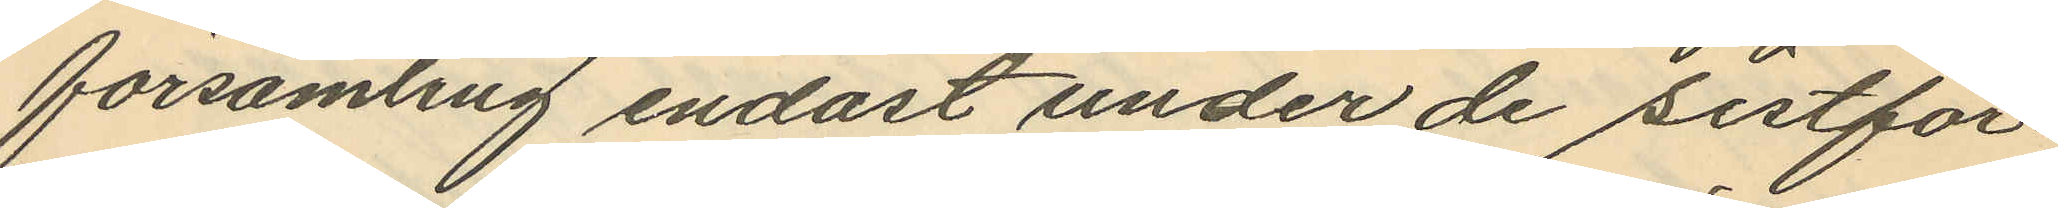församling endast under de sistför¬
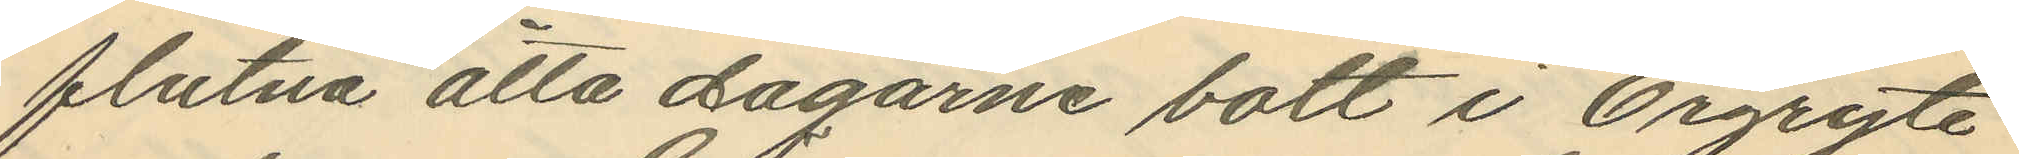flutna åtta dagarne bott i Örgryte
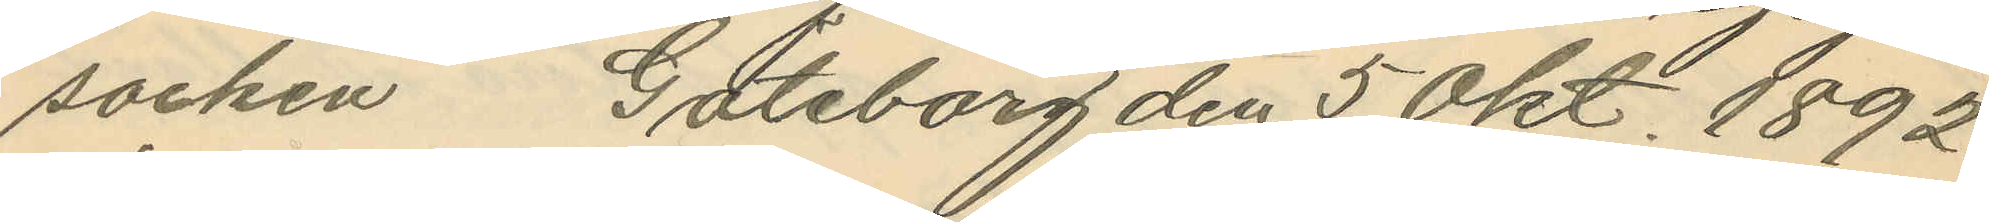socken Göteborg den 5 Okt. 1892
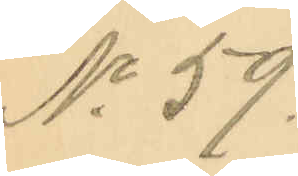No 59.
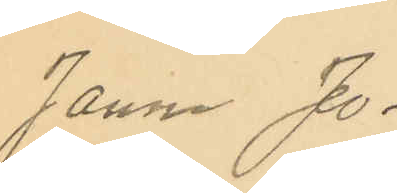Janne Jo¬
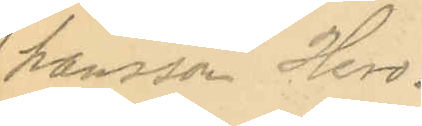hansson Hero.
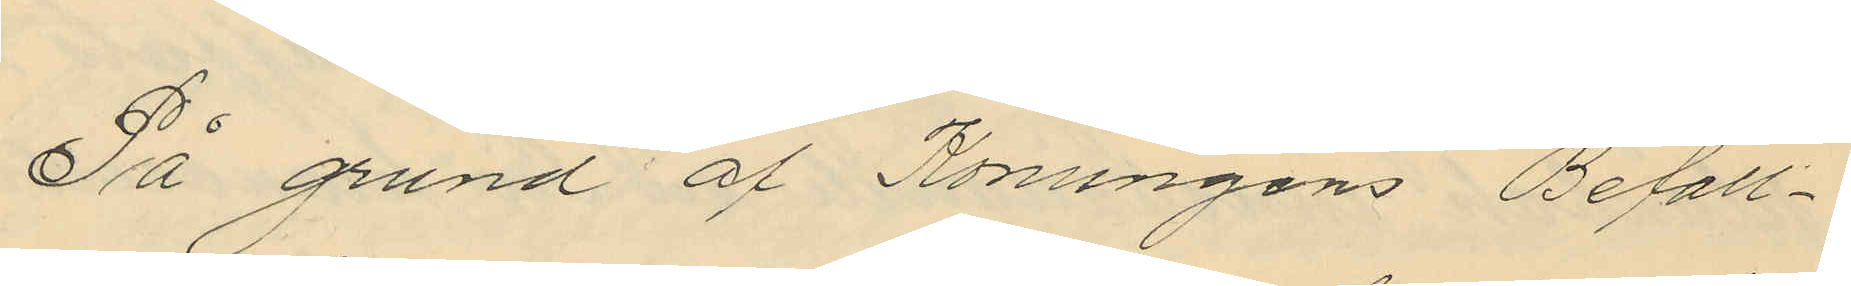På grund af Konungens Befall¬
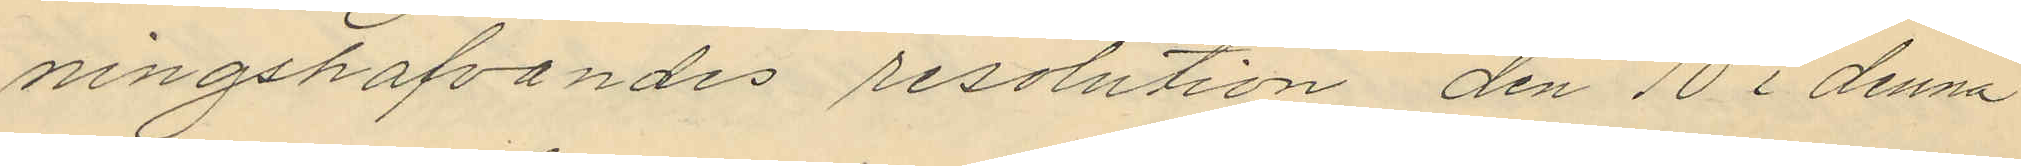ningshafvandes resolution den 10 i denna
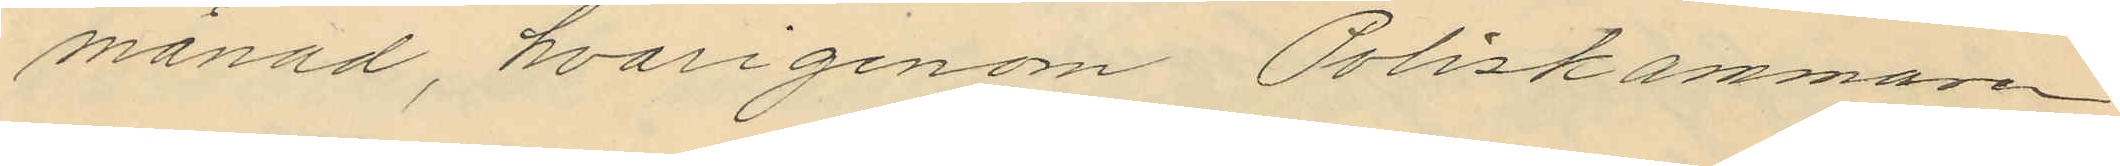månad, hvarigenom Poliskammaren
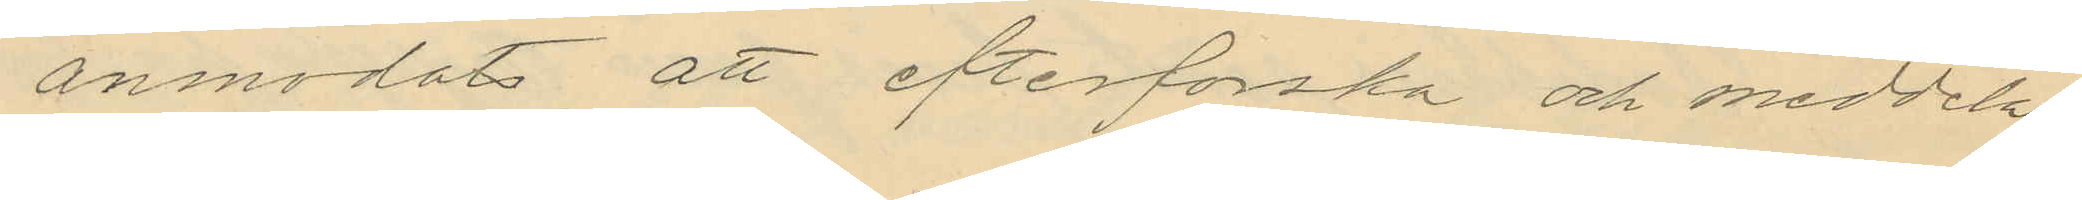anmodat att efterforska och meddela
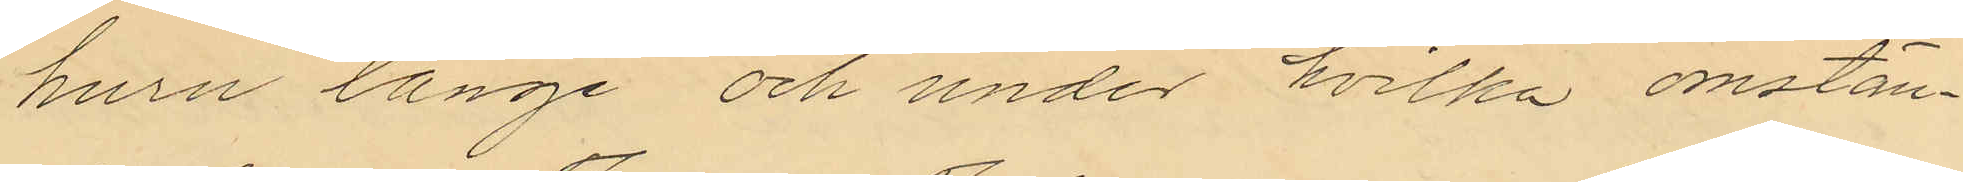huru länge och under hvilka omstän¬
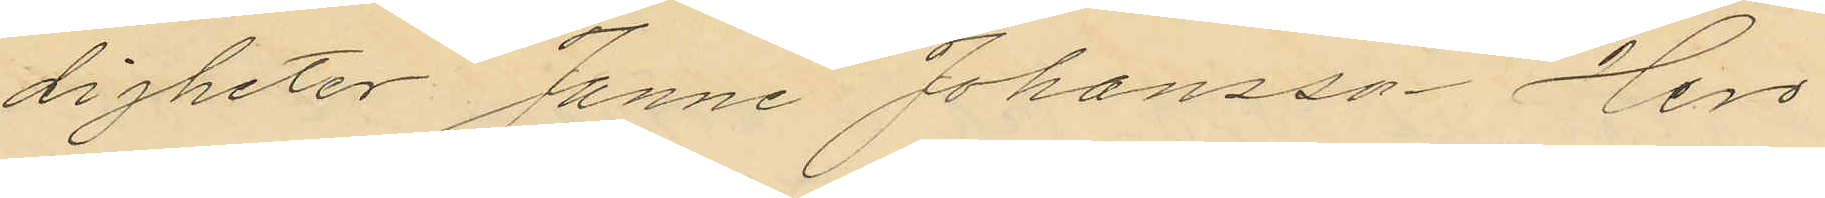digheter Janne Johansson Hero
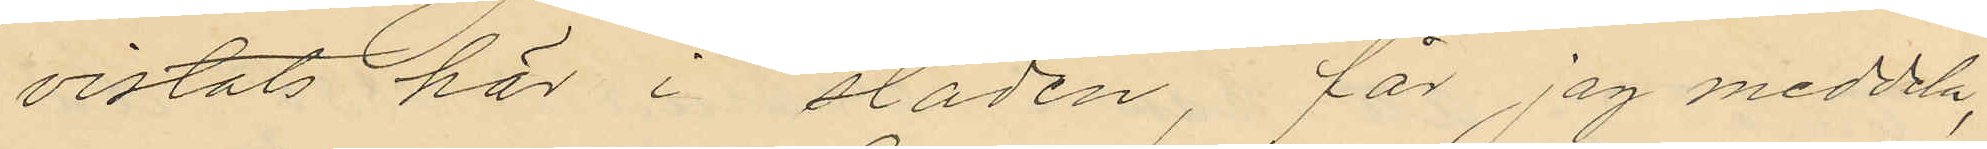vistats här i staden, får jag meddela,
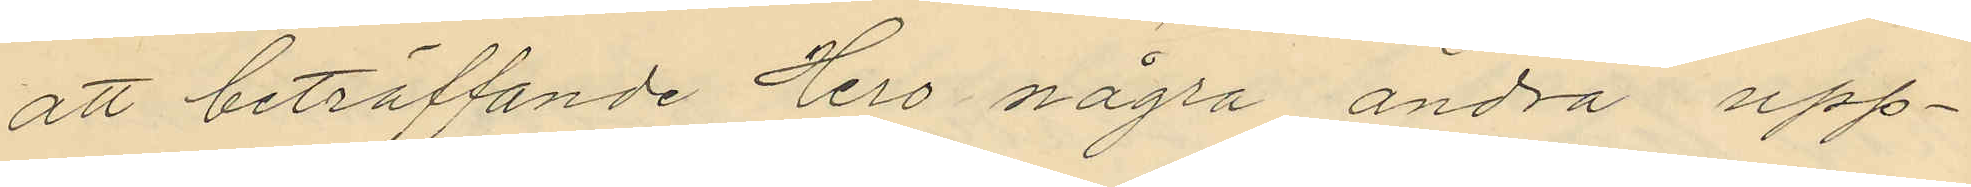att beträffande Hero några andra upp¬
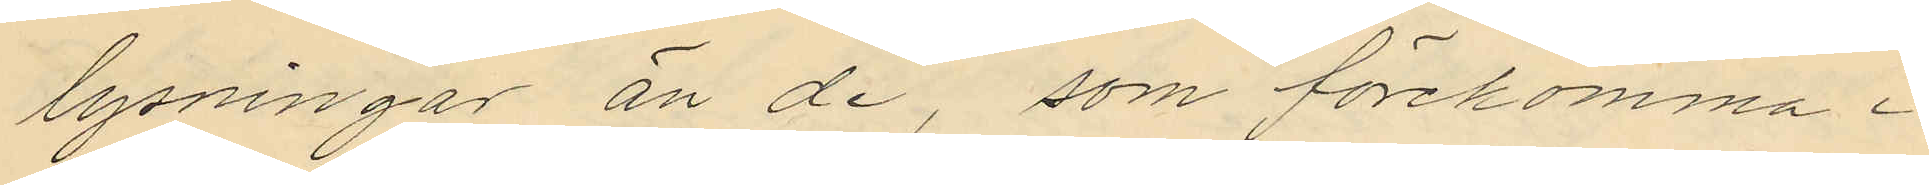lysningar än de, som förekomma i
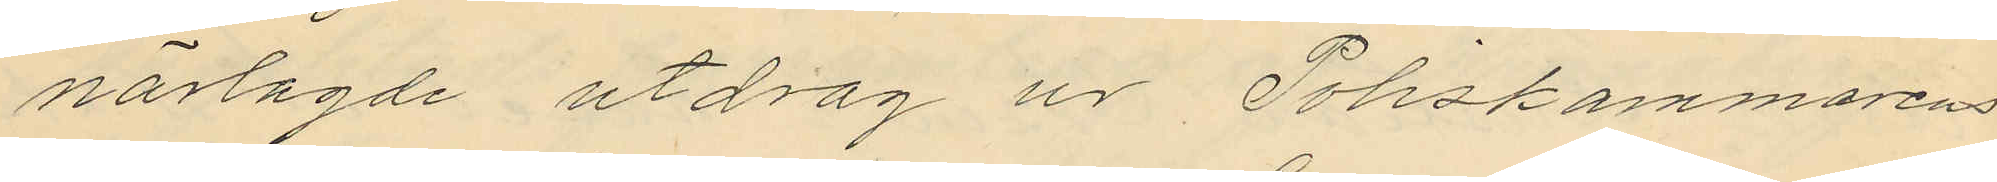närlagde utdrag ur Poliskammarens
